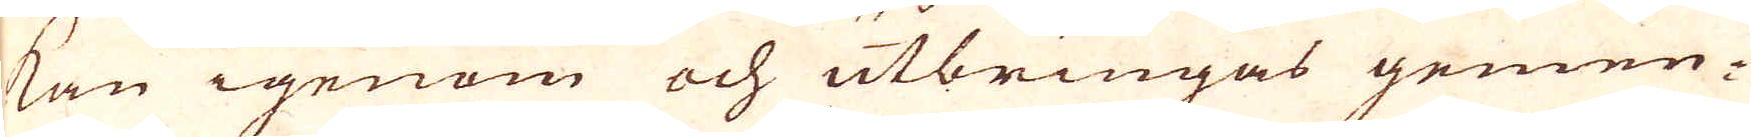kan igenom och utbringas gemen-
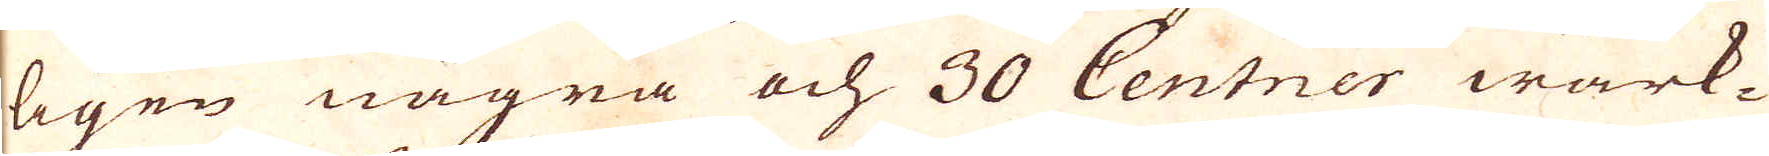ligen några och 30 Centner wärk-
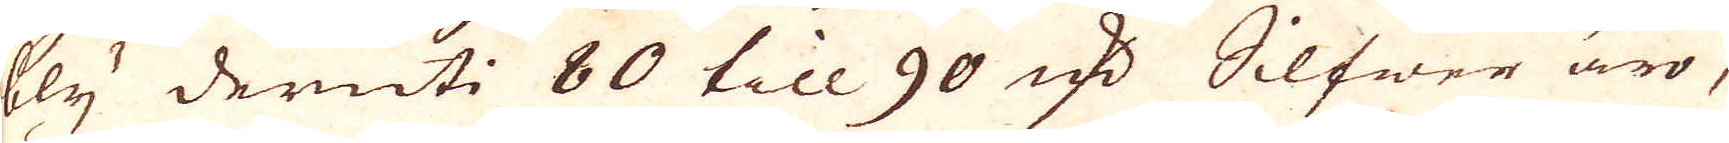bly deruti 80 till 90 qv:r Silfwer äro,
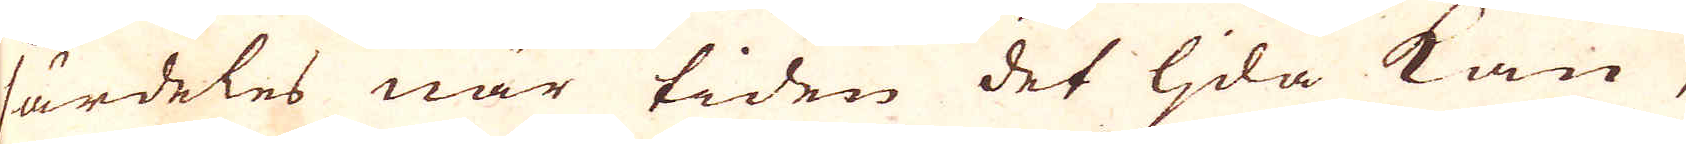särdeles när tiden det ljda kan,
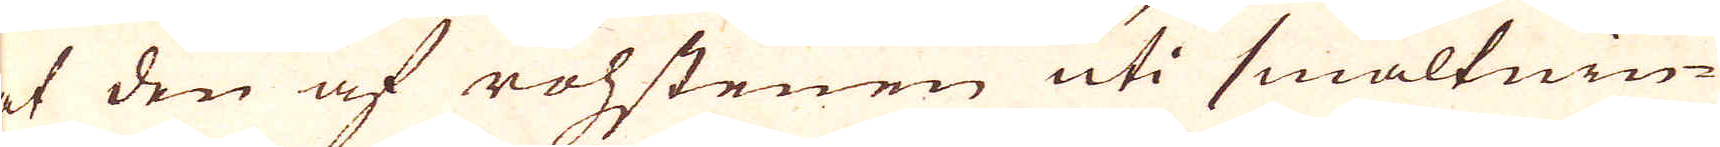et den af rohstenen uti smältnin-
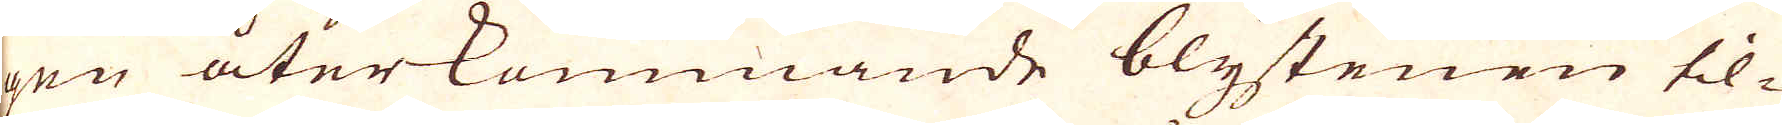gen återkommande blystenen til-
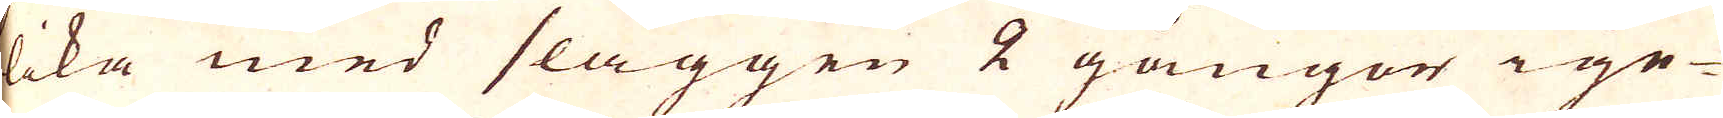lika med slaggen 2 gångor ige-
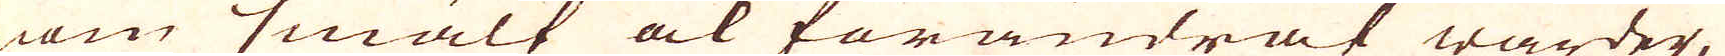nom smält ok förändrat warder,
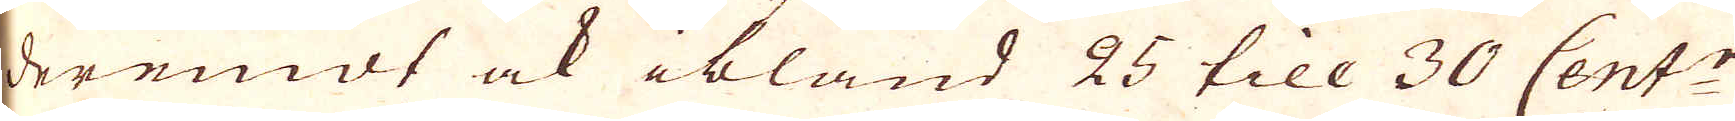deremot ock ibland 25 till 30 Cent:r
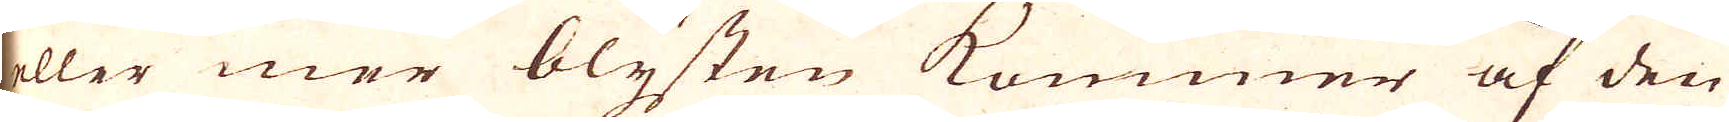eller mer blysten kommer af den
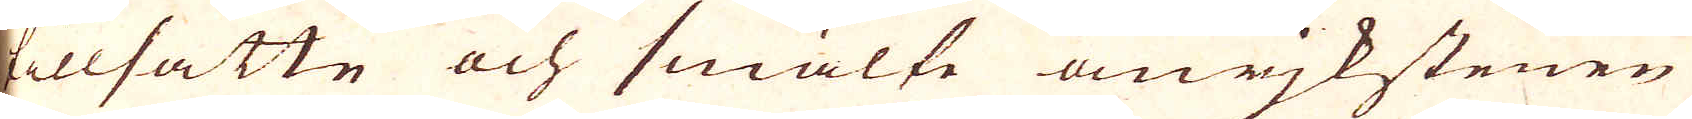tillsatte och smälte anjkstenen
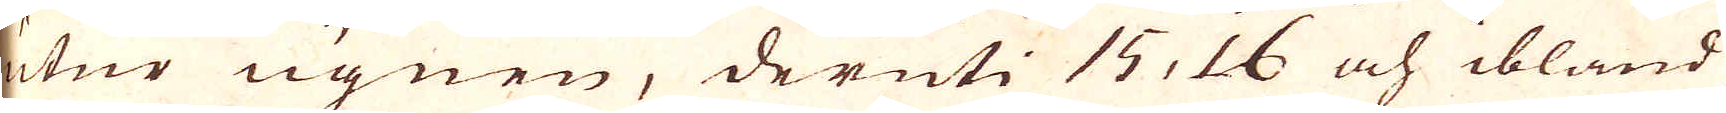utur ugnen, deruti 15, 16 och ibland
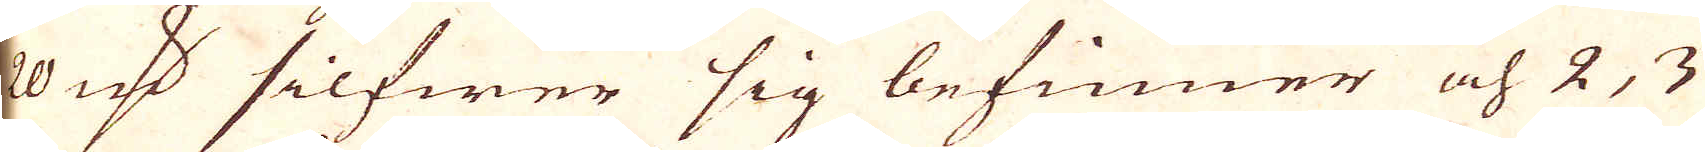20 qv:r silfwer sig befinner och 2, 3
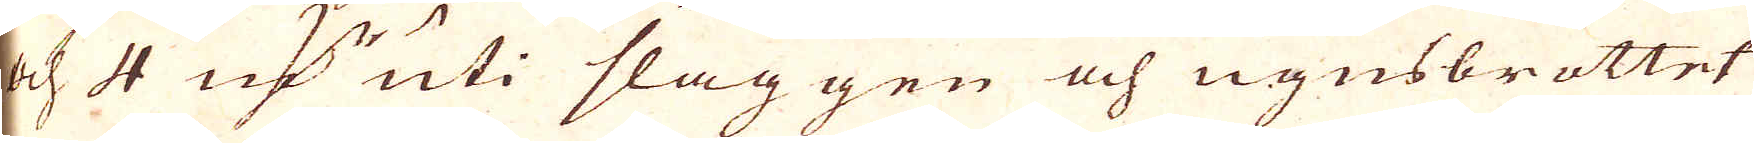och 4 qv:r uti slaggen och ugnsbrottet
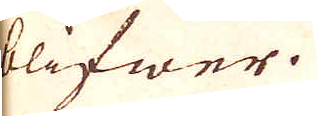blifwer.
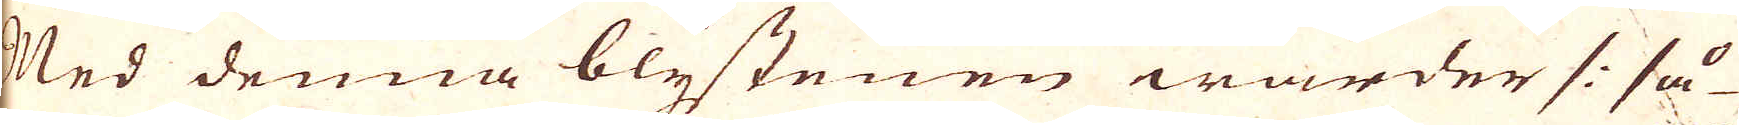Med denna blystenen warder /: så
